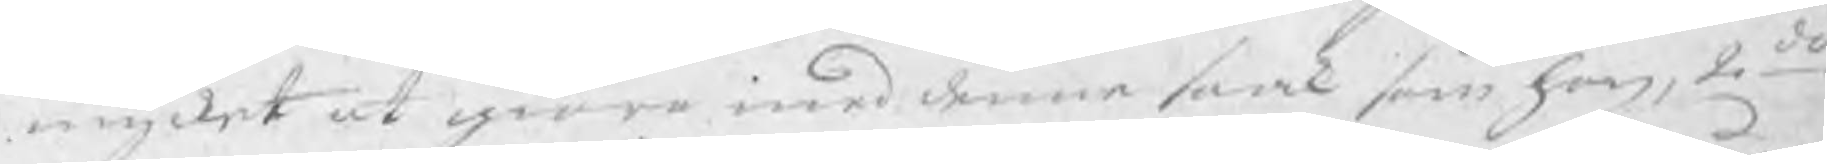mycket at giöra med denne saak som han, 2do
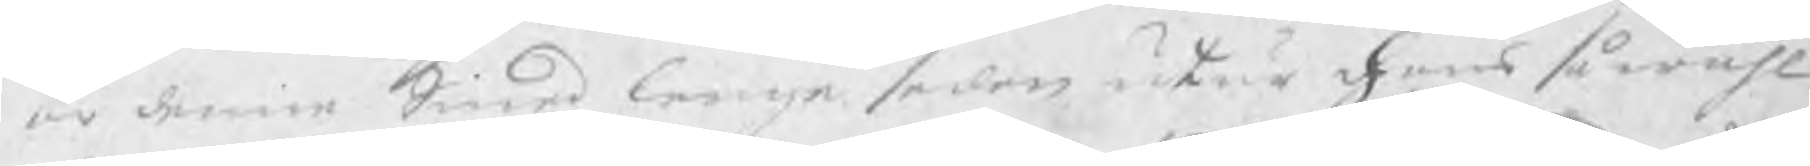är denne Smed lenge sedan utur hans så wähl
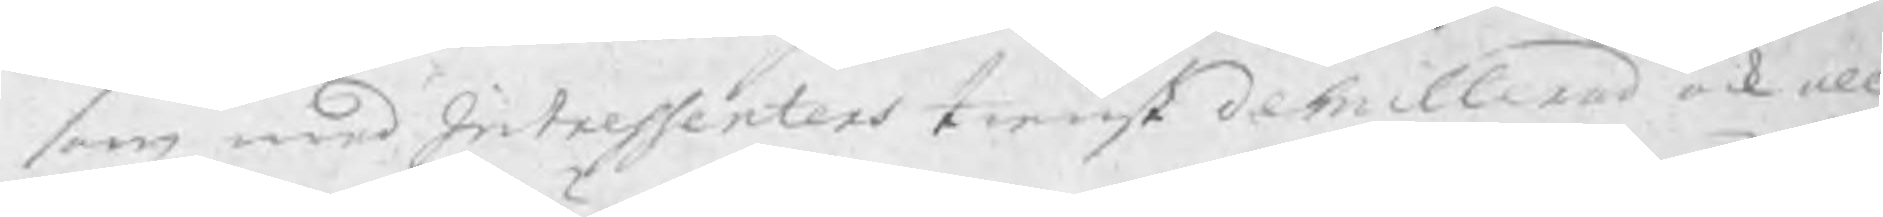som med Intressenters tienst demitterad ock all
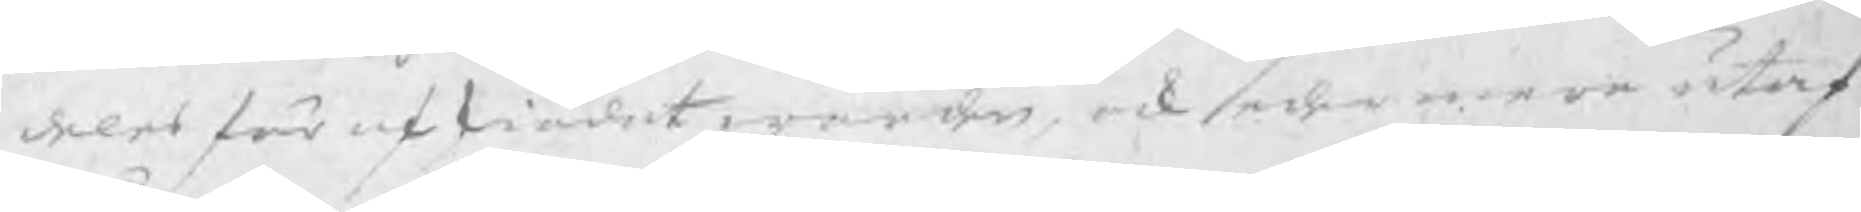deles för afskiädat warder, ock sedermera utaf
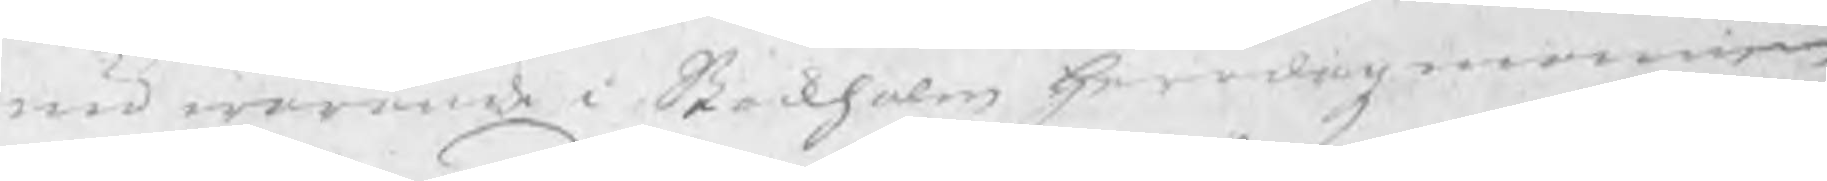nu warande i Stockholm Herrdagzmannen
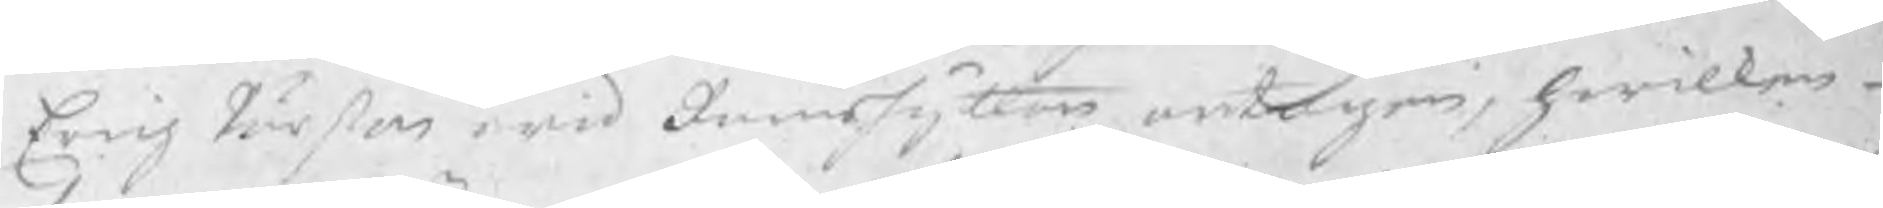Erich Pärson wid Ramshyttan antagen, hwilken
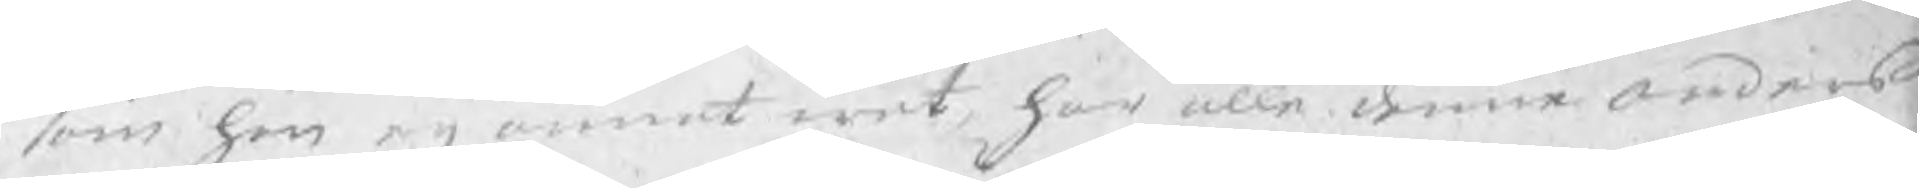som han eij annat wet, har alle Anders
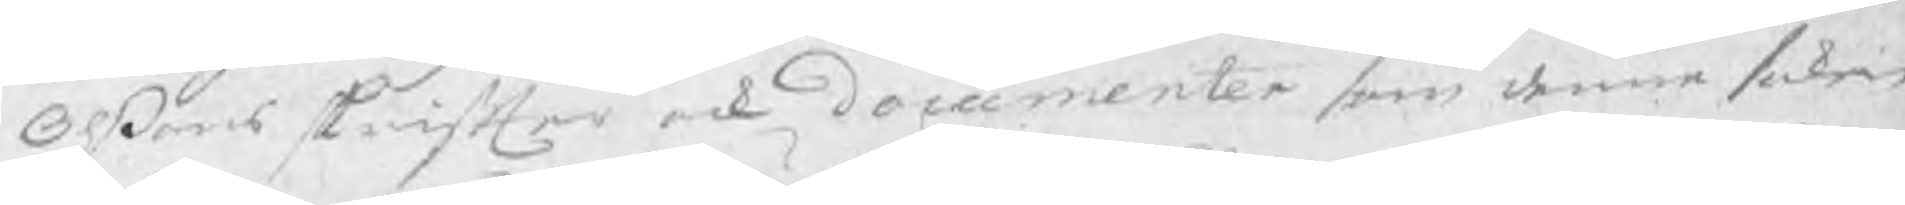Olßons skrifter och documenter som denne saken
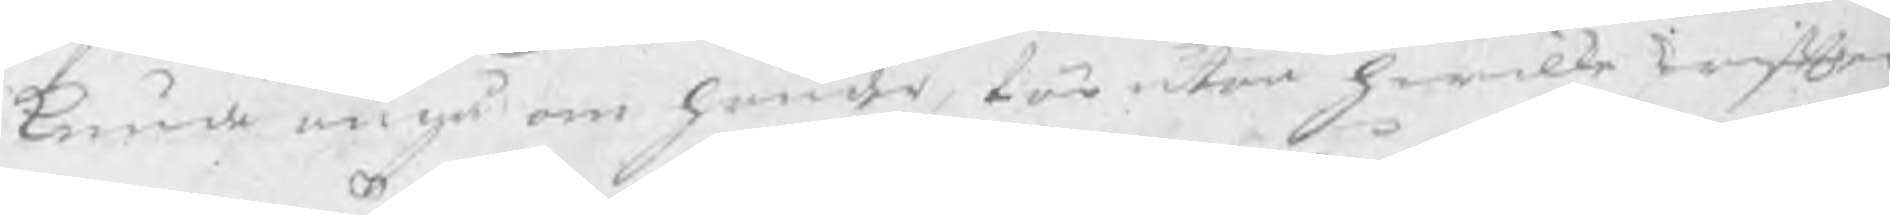kunde angå om händer för utan hwilka skrifter 
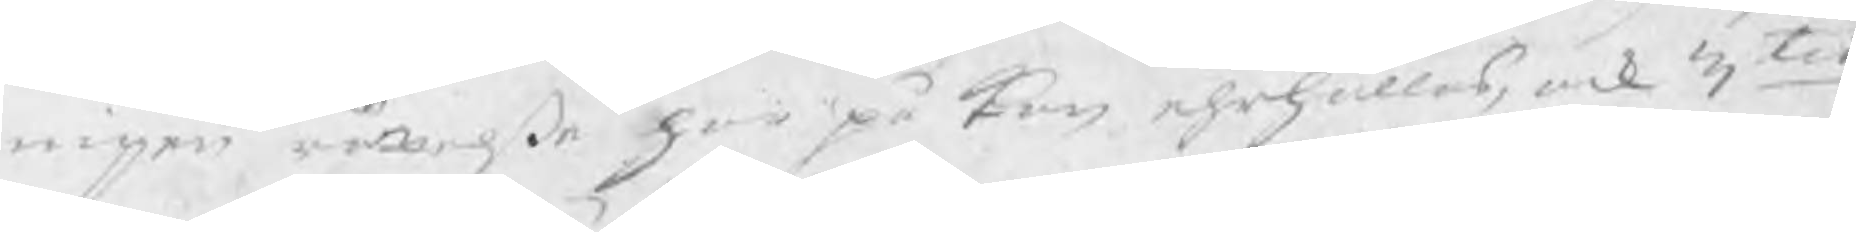ingen rättelse her på kan ehrhållas, ock 3tio
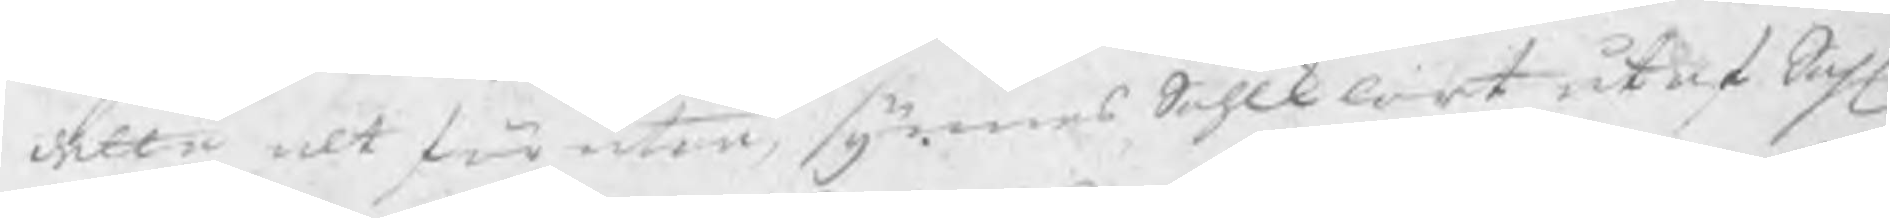dette alt för utan, synnes Sohlklart utaf Sahl
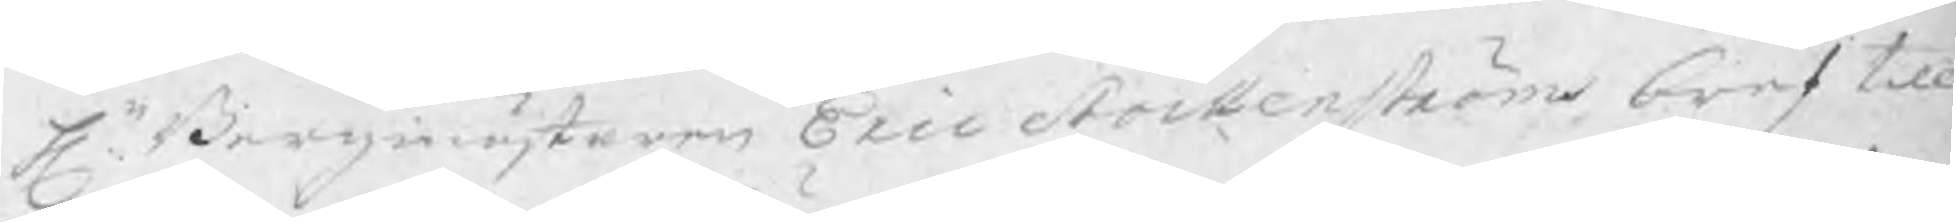Hr. Bergmästaren Eric Stockenströms bref till
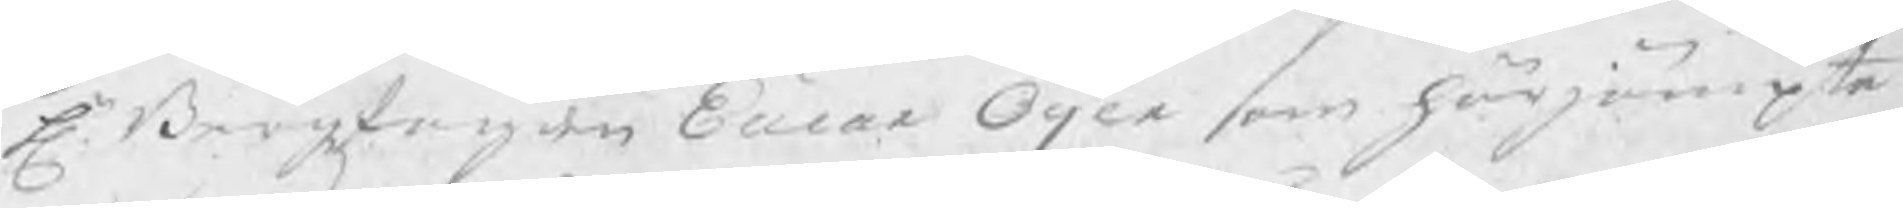Hr. Bergzfogden Eucar Öijer som härjämpte
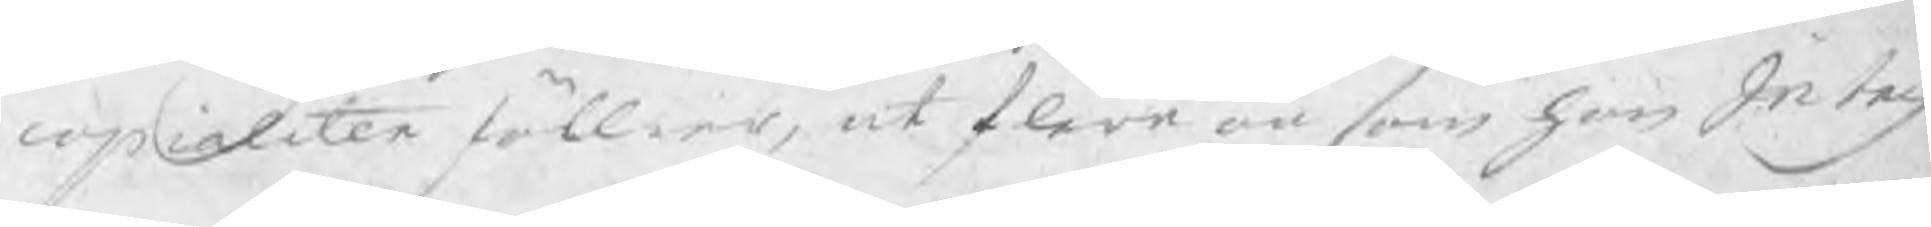copialiter föllier, at flere än som han Intres
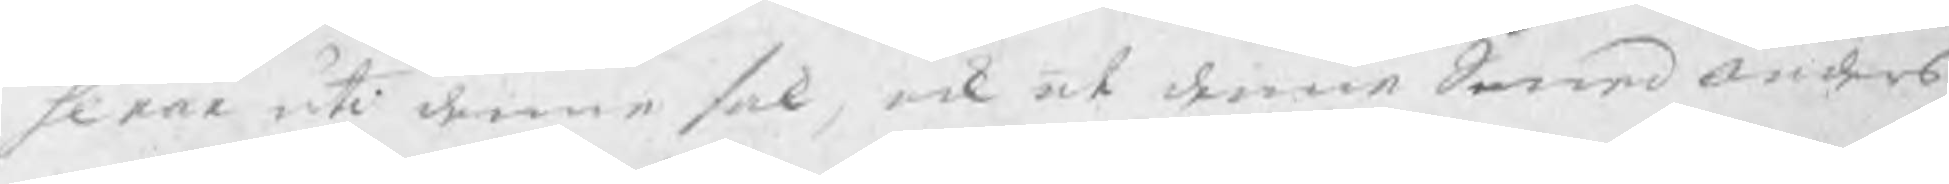serne uti denne sak, ock at denne Swaranders
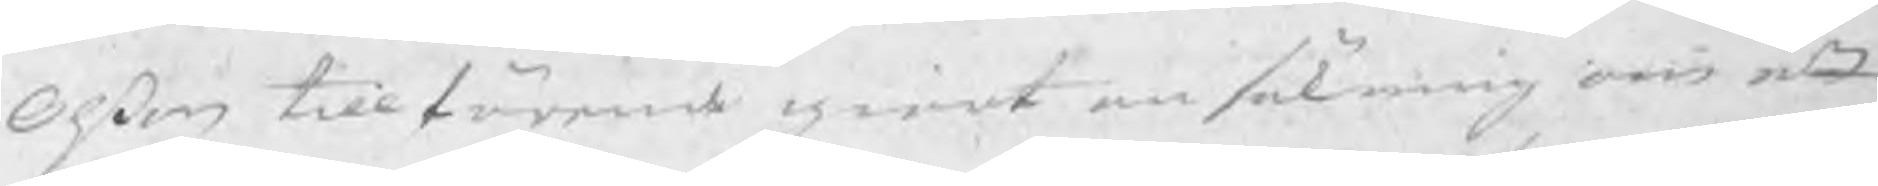Olßon till förande giort ansökning om ett
